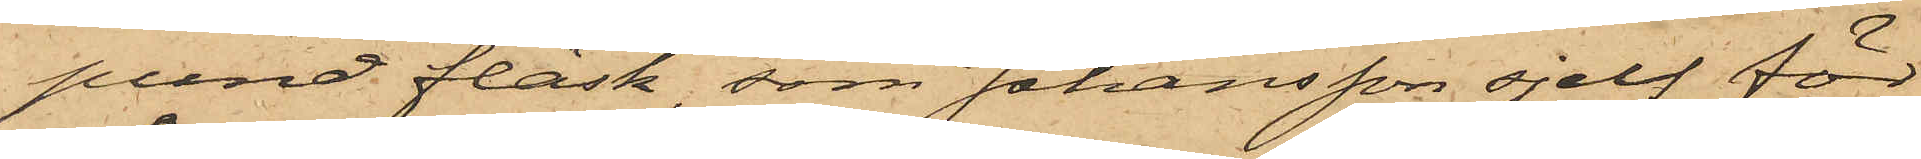pund fläsk, som Johansson sjelf för¬
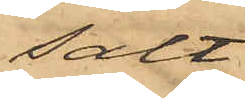sålt
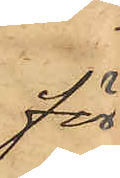för
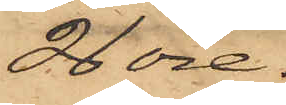26 öre;
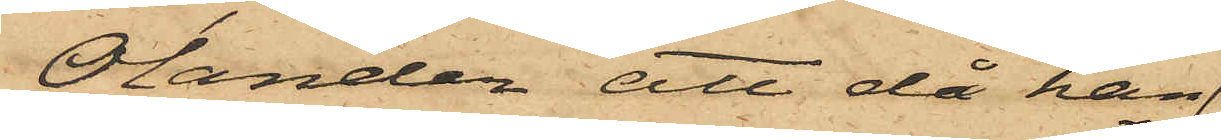Olander, att då han
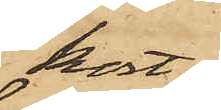kort
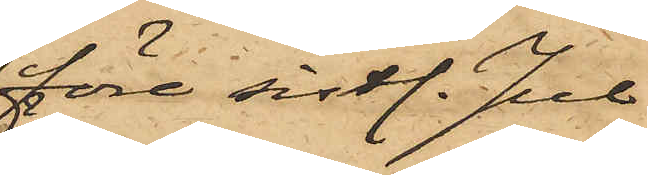före sistl. Jul
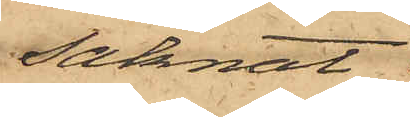saknat
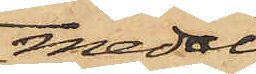medel
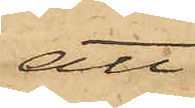att
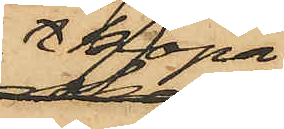köpa
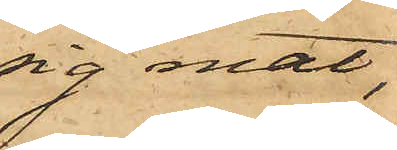sig mat,
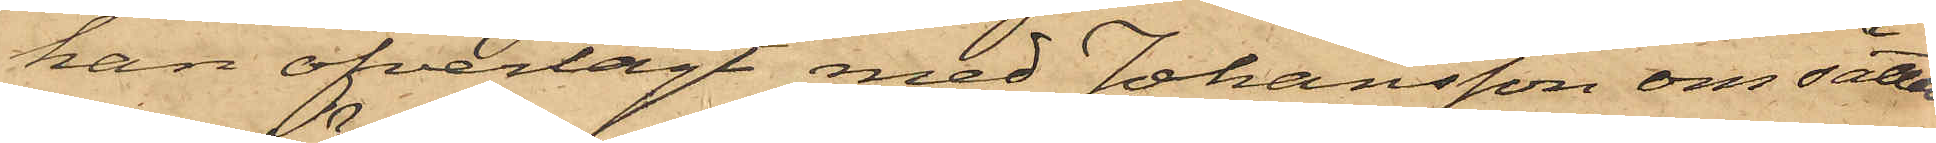han öfverlagt med Johansson om sättet
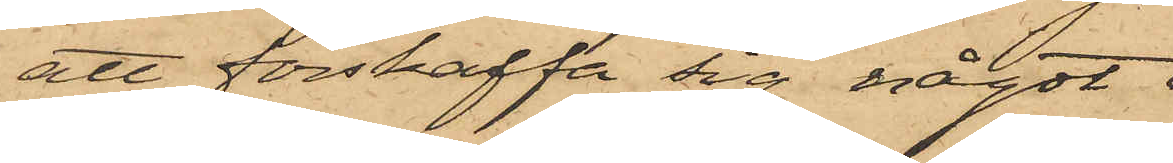att förskaffa sig något
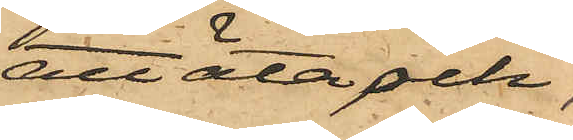att äta och,
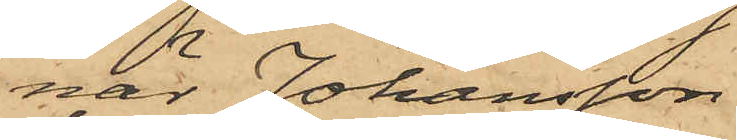när Johansson
